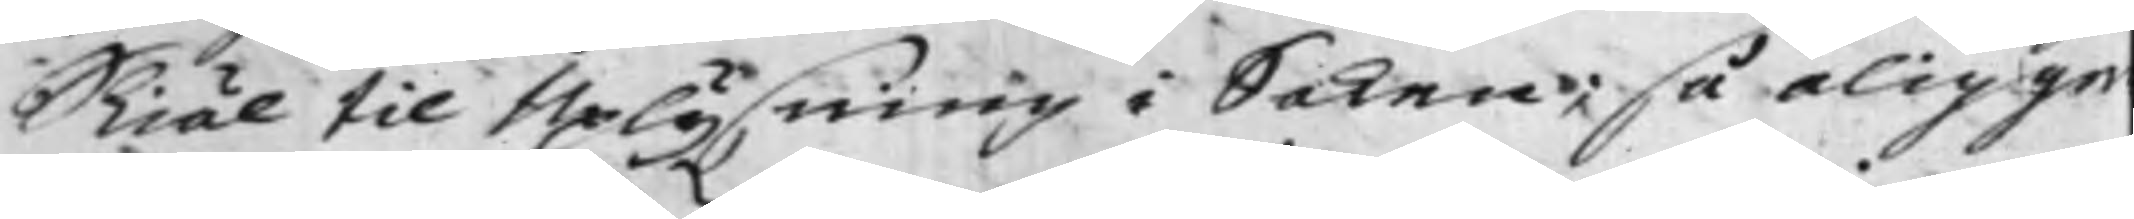Skiäl til Uplysning i Saken; så åligge
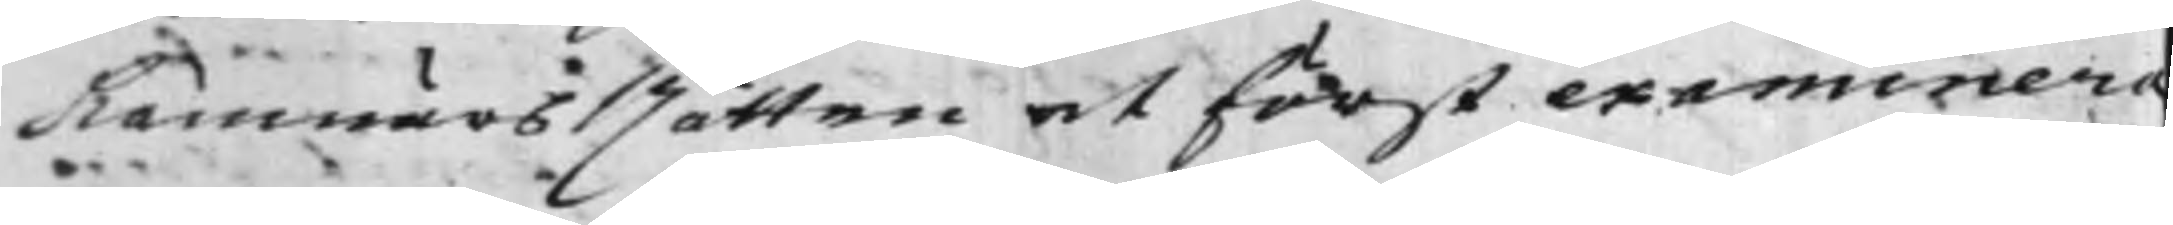Kämnärs Rätten at först examinera
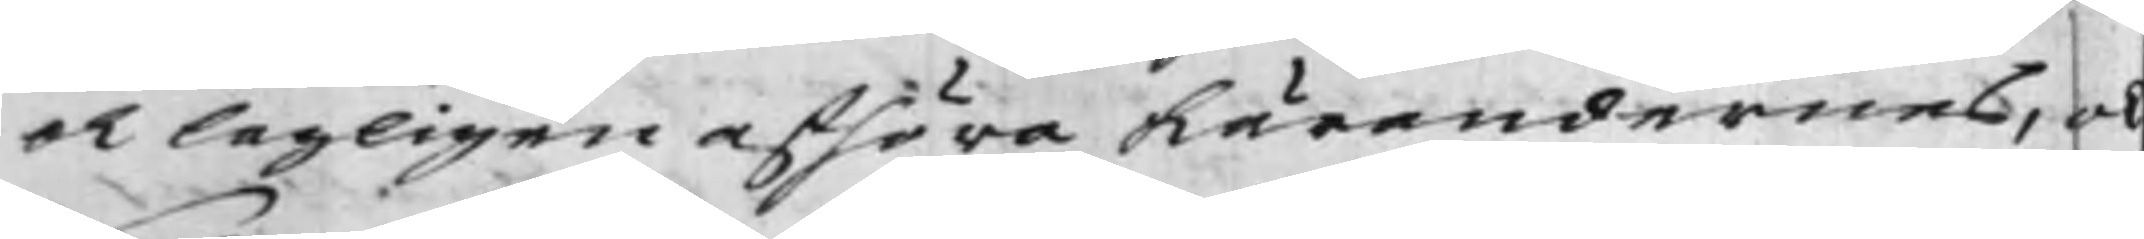och lagligen afhöra Kärandernes, och
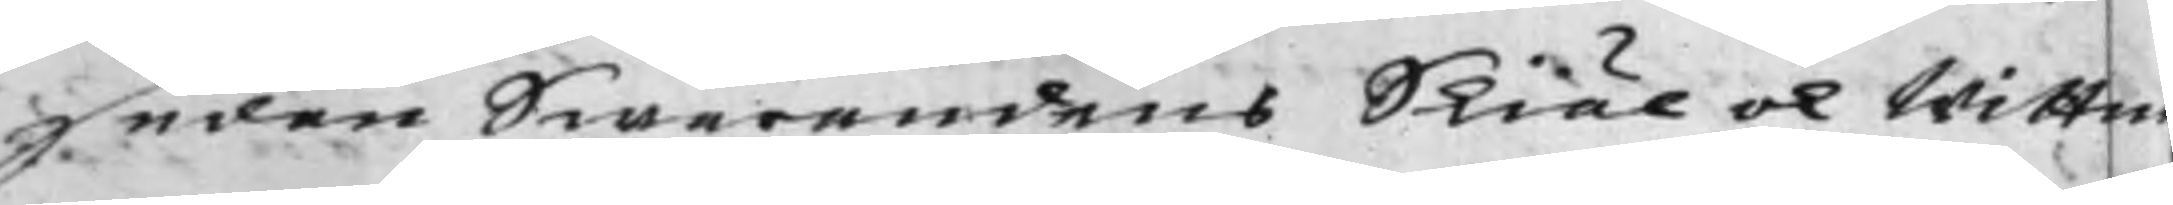sedan Swarandens Skiäl och Wittn
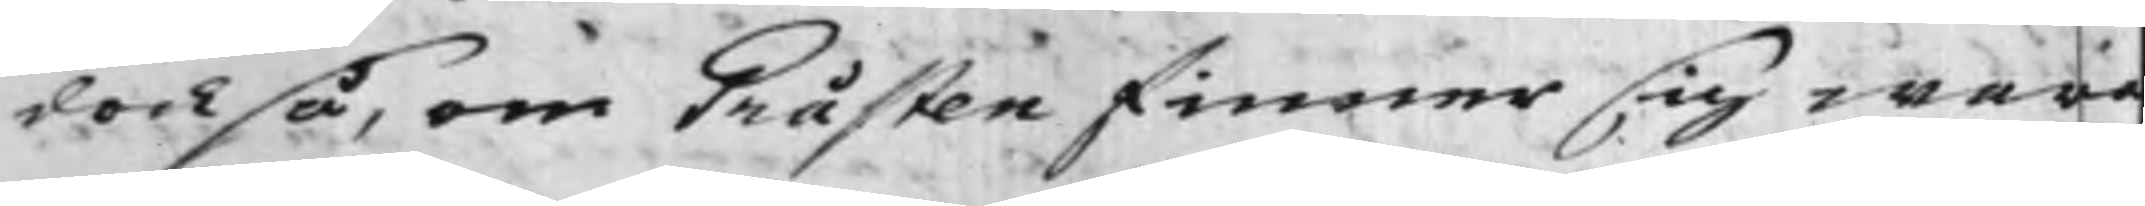dock så, om Gråsten finner sig wara
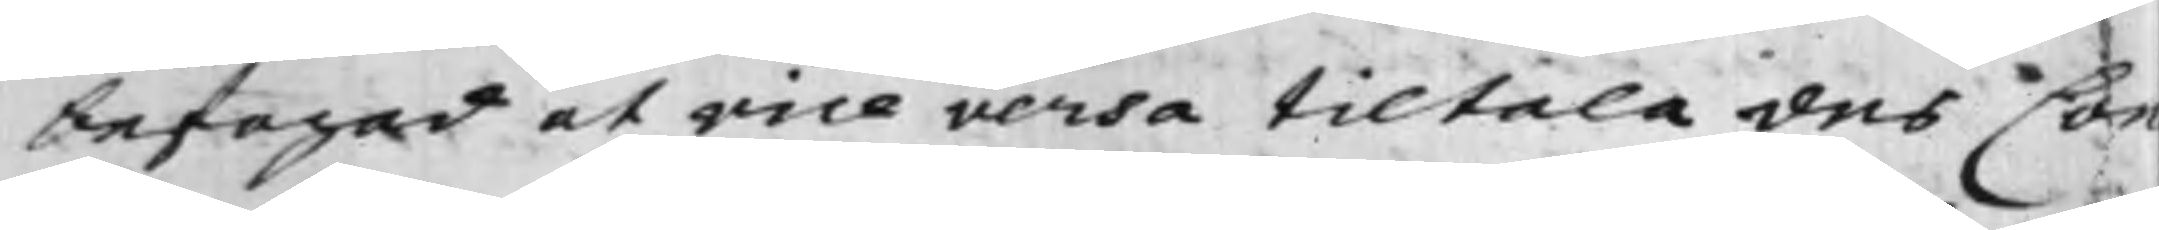befogad at vice versa tiltala des Con¬
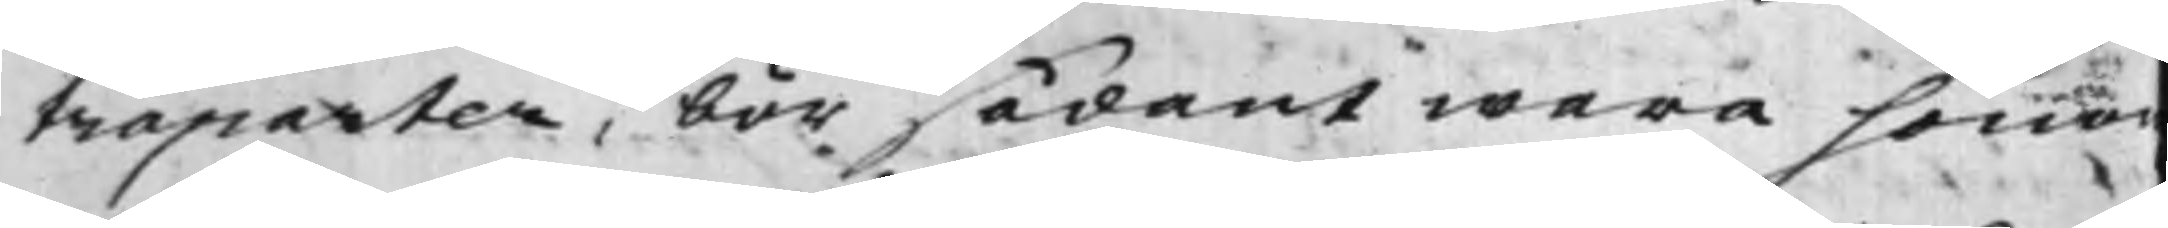traparter, bör sådant wara hono
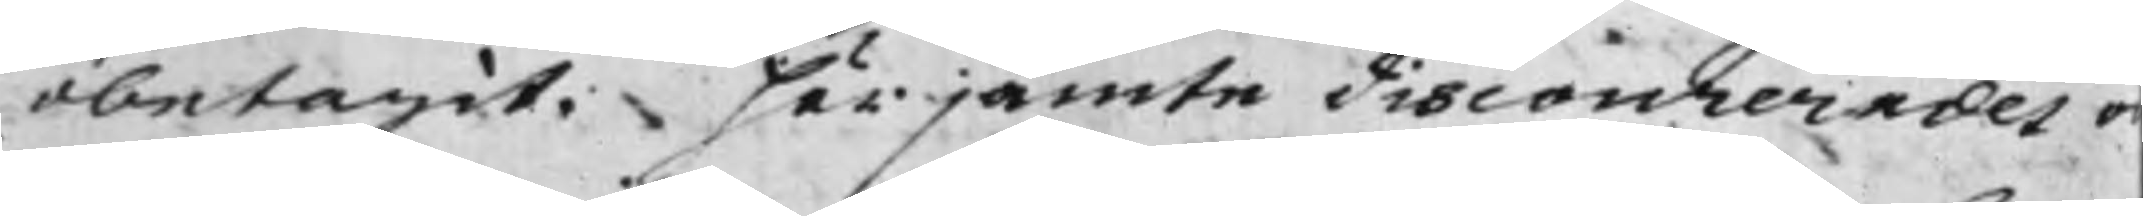obetagit. härjämte discourerades o¬
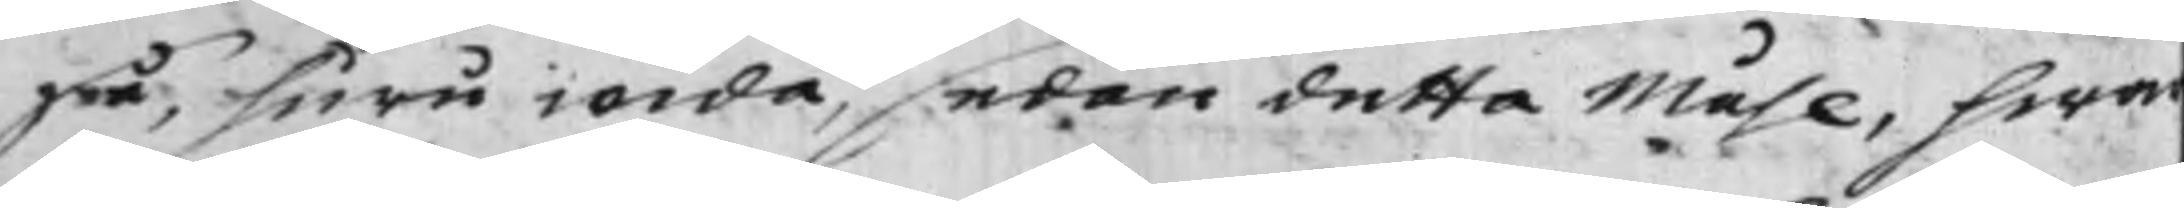på, huru wida, sedan detta Måhl, hwa¬
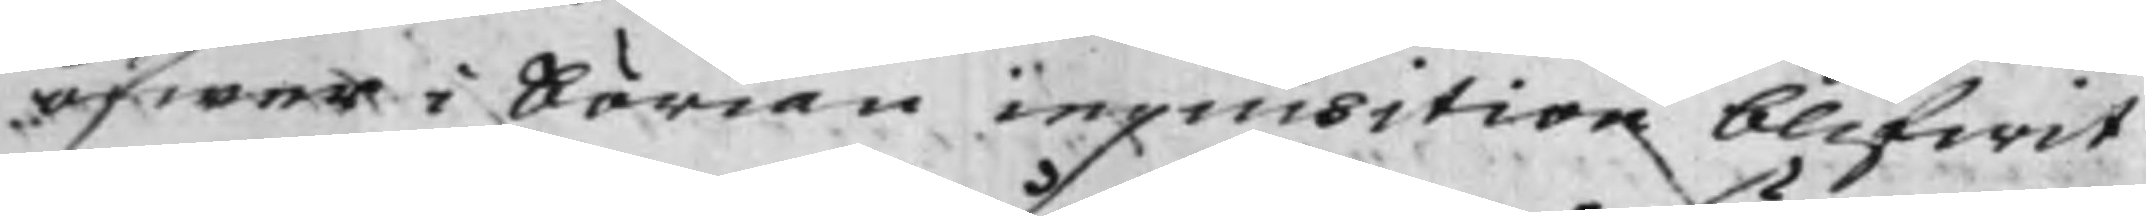öfwer i börian inquisition blifwit
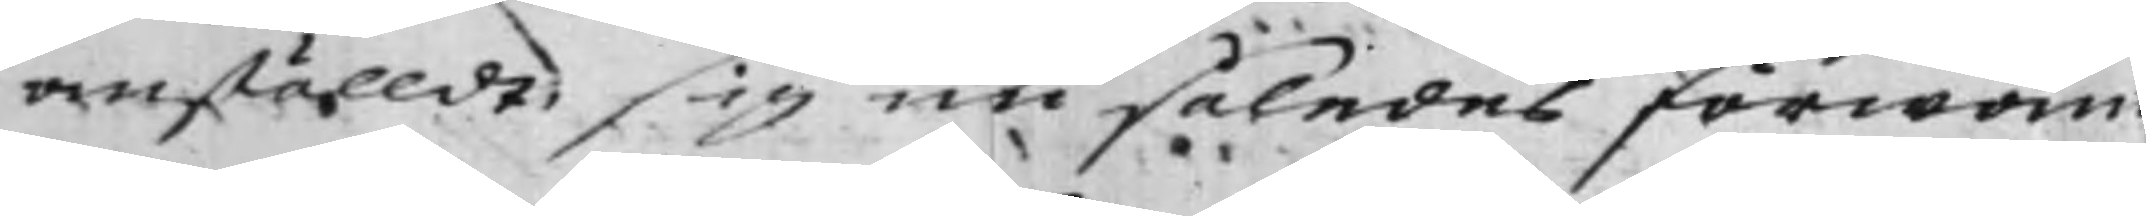anställdt sig nu således förwan¬
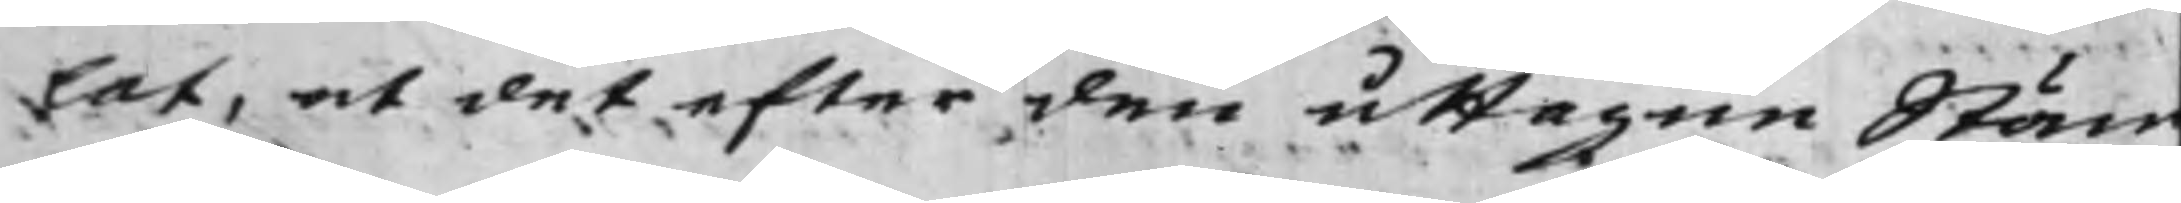lat, at det efter den uttagne Stäm¬
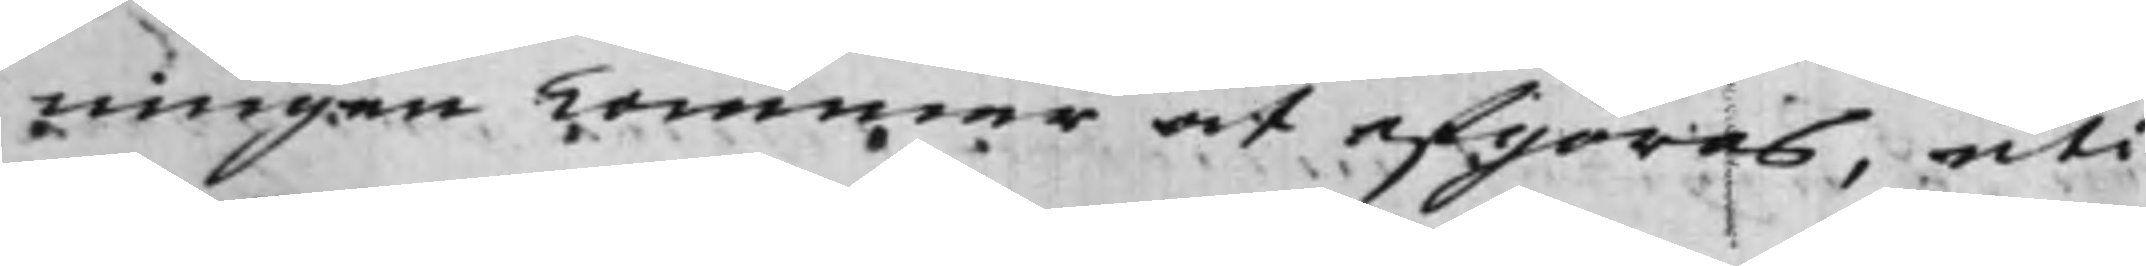ningen kommer att afgöras, uti
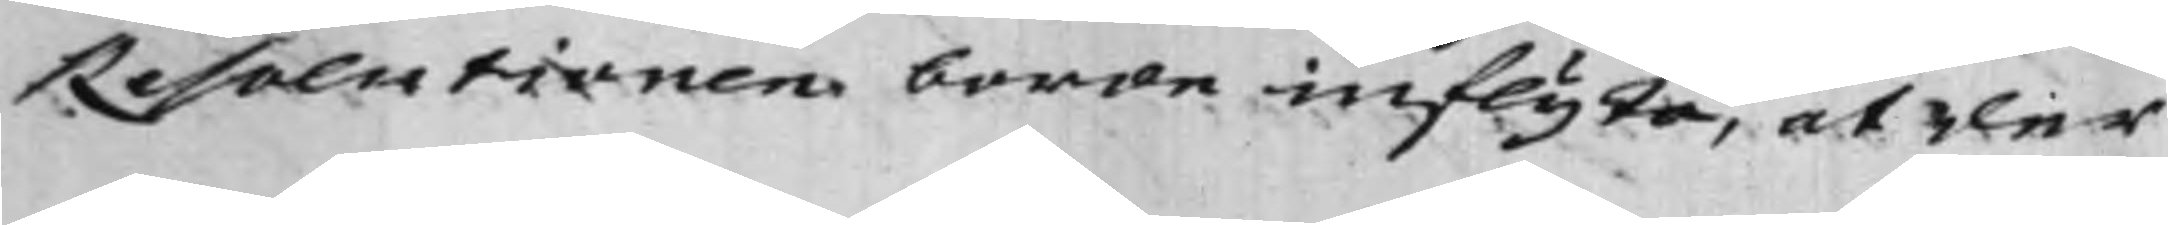Resolutionen borde inflyta, at der
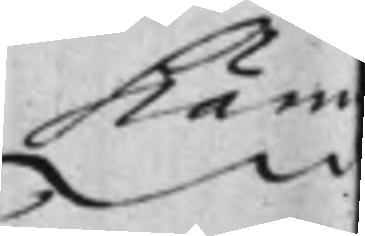Käm
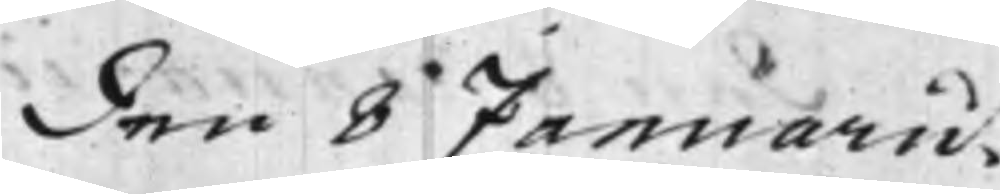den 8 Januarii.
